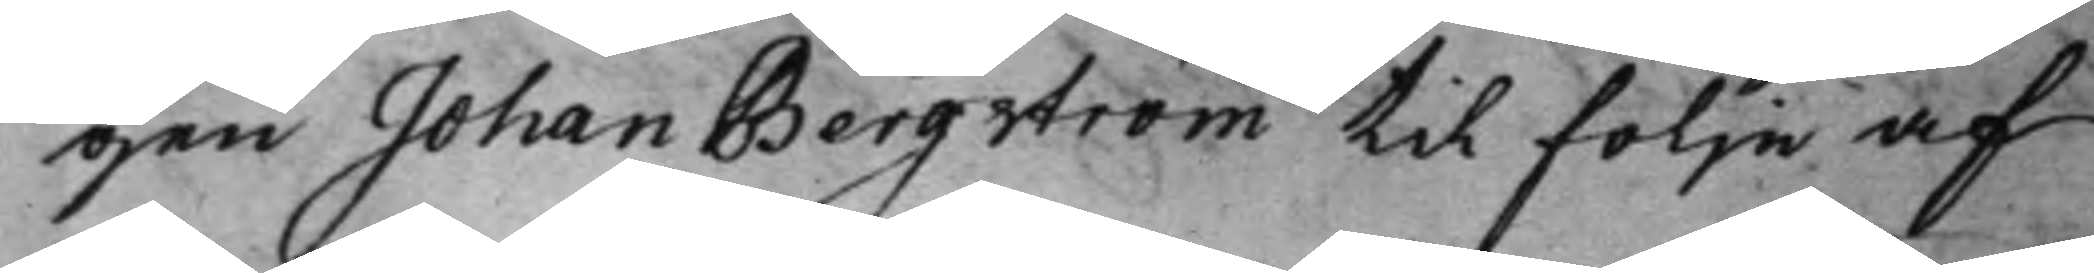gen Johan Bergström til följe af
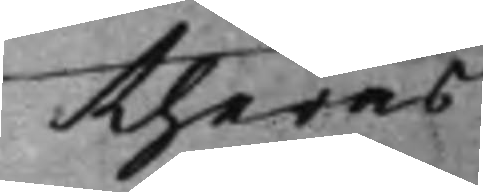theras
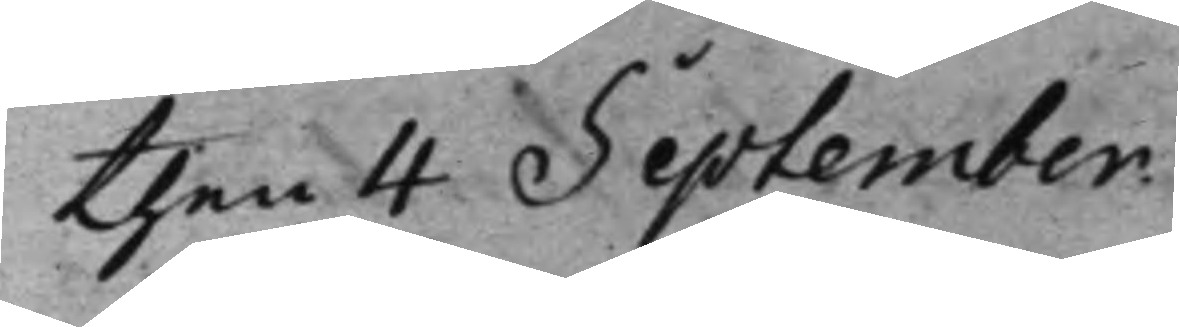then 4 September.
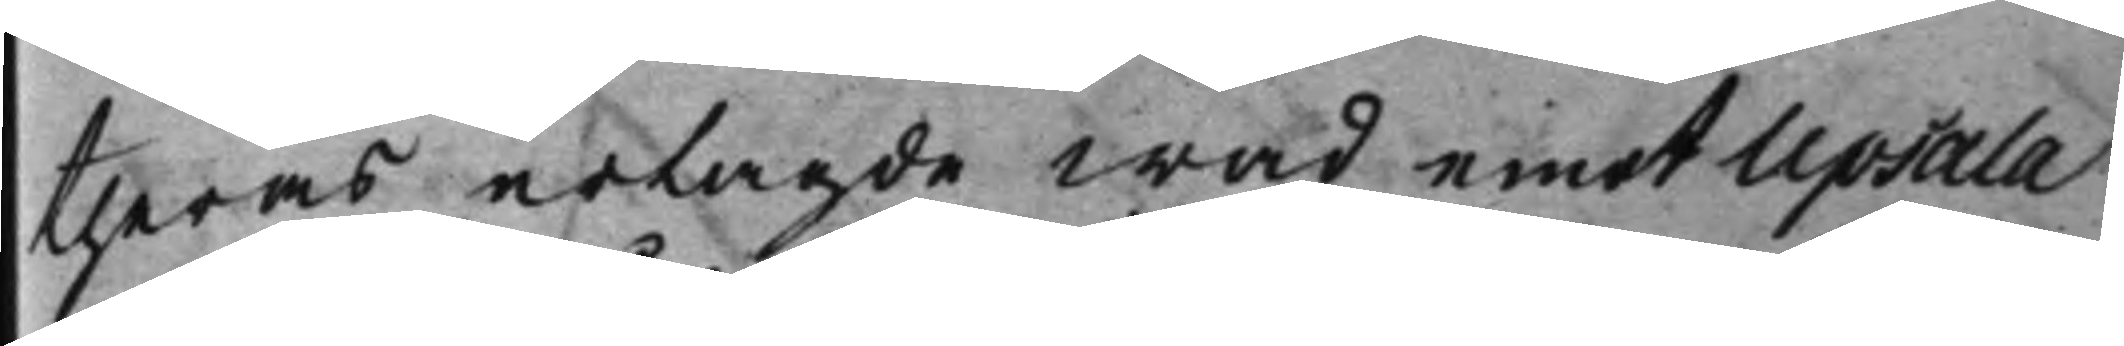theras erlagde wad emot Upsala
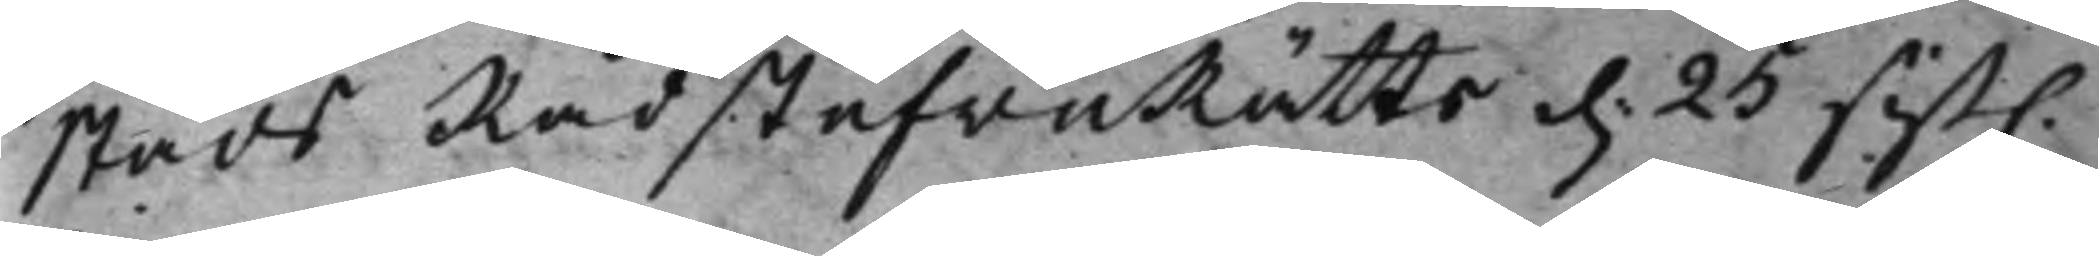stads RådstufwuRätts d. 25 sist. 
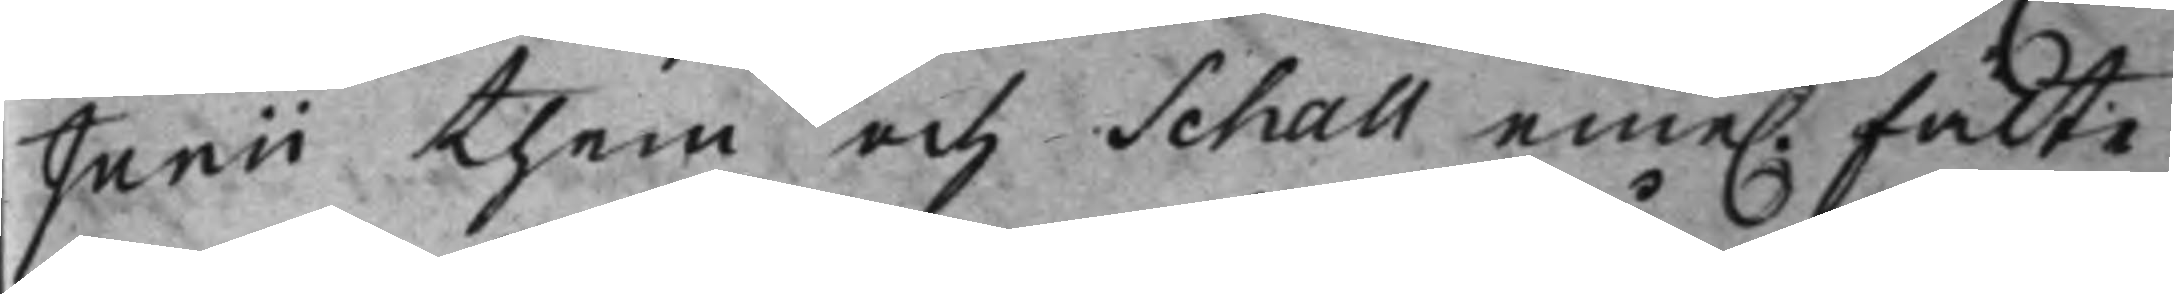Junii them och Schall eme. fälte 
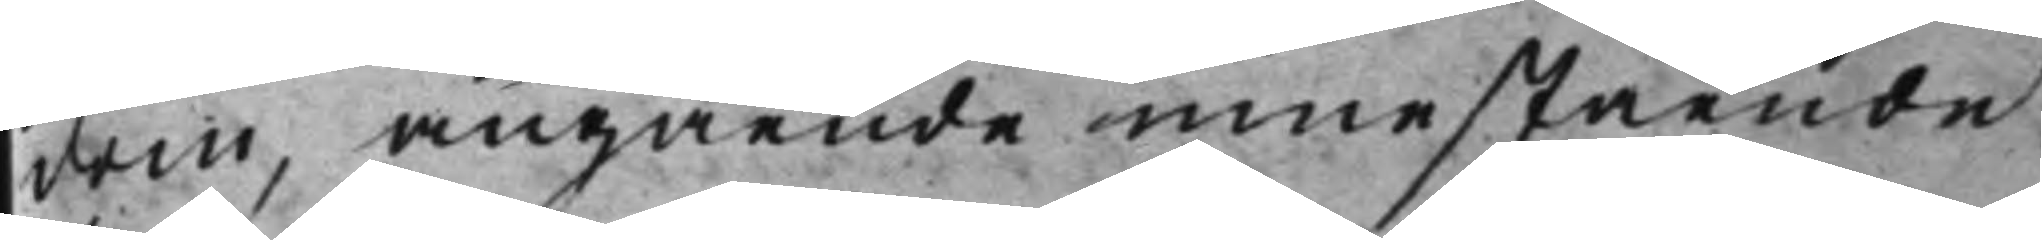dom, angående innestående
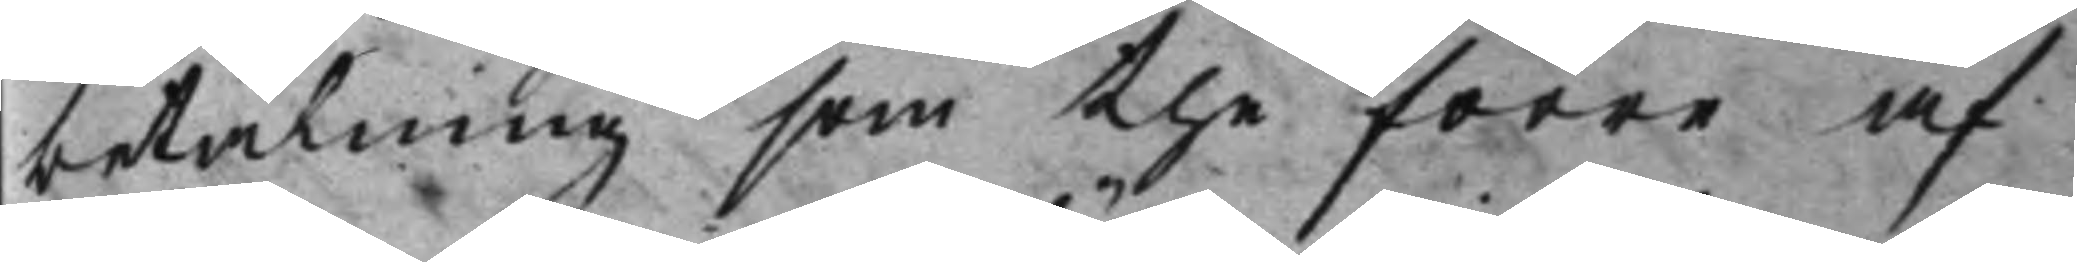betalning som the förre af
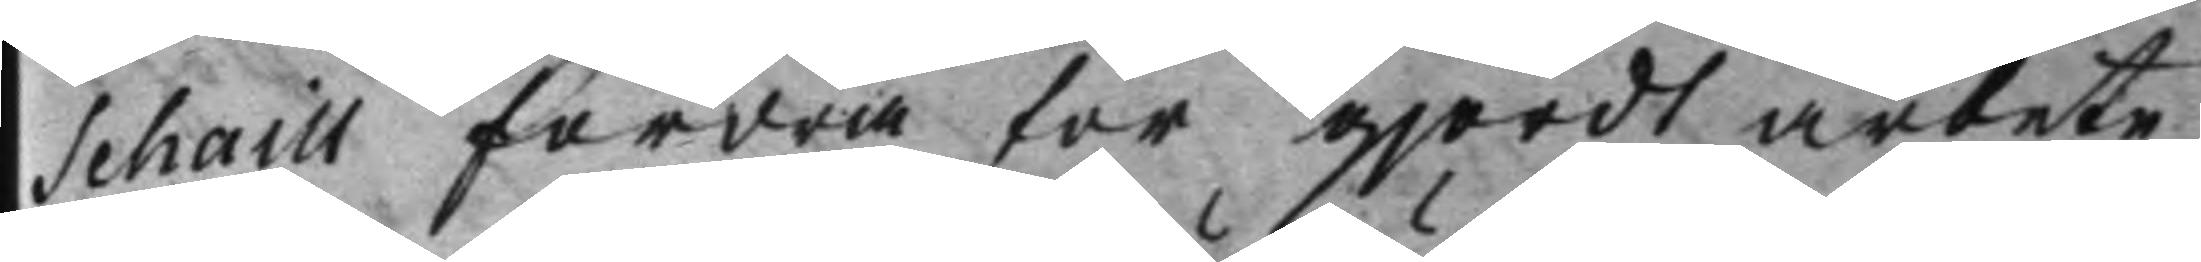Schaill fordra för gjordt arbete,
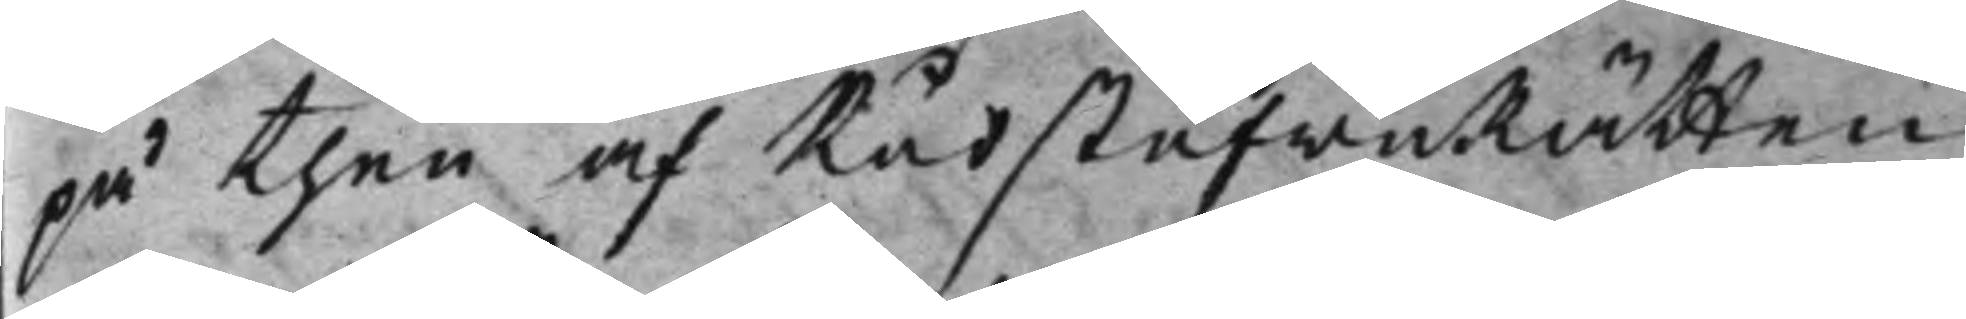på then af RådstufwuRätten
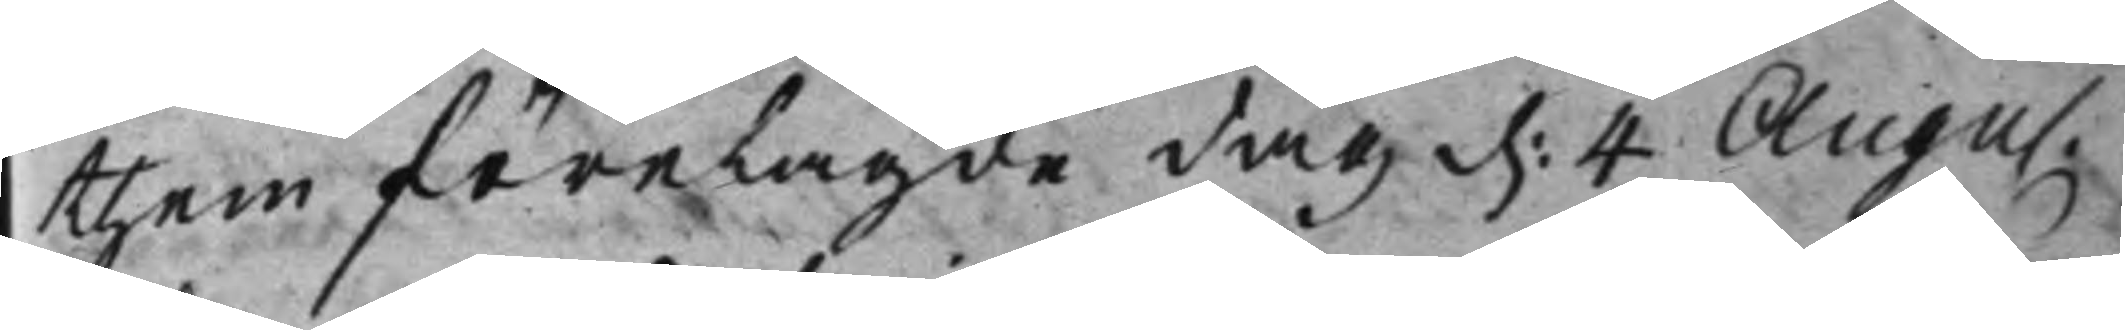them förelagde dag d. 4 Augu. 
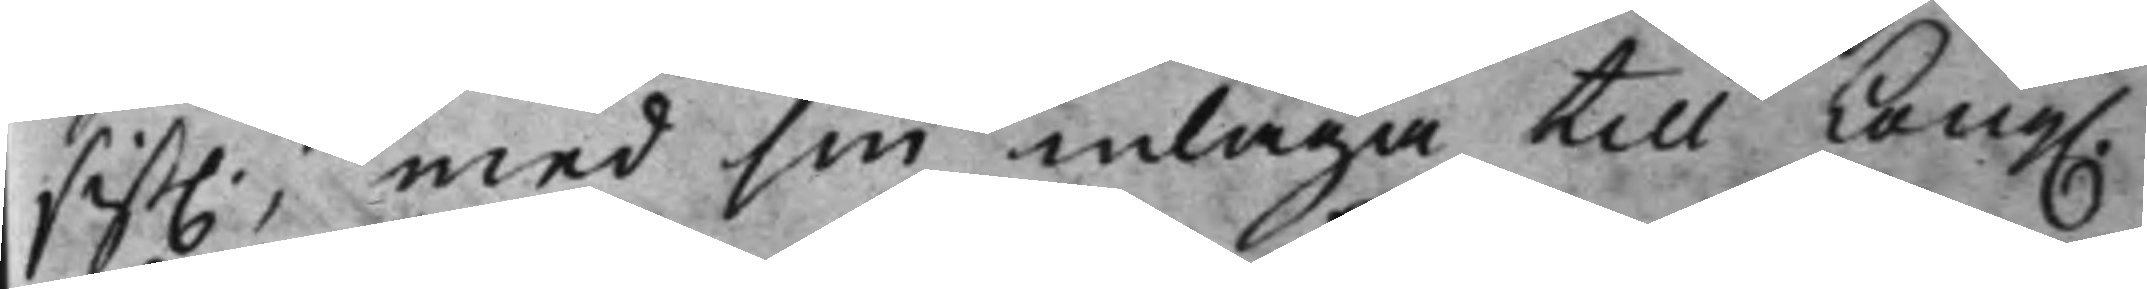sist., med sin inlaga till Kong. 
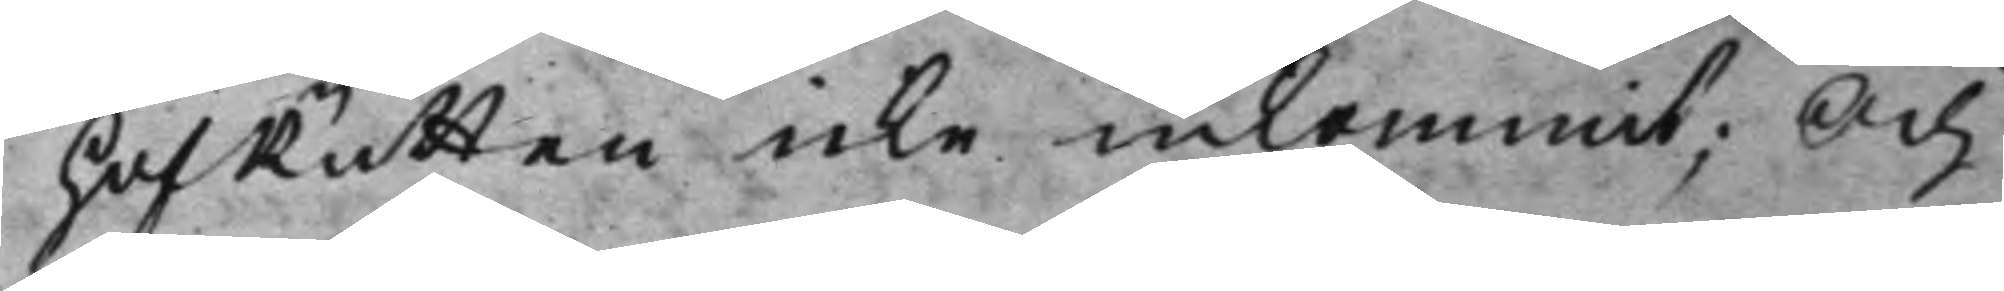HofRätten icke inkommit; Och
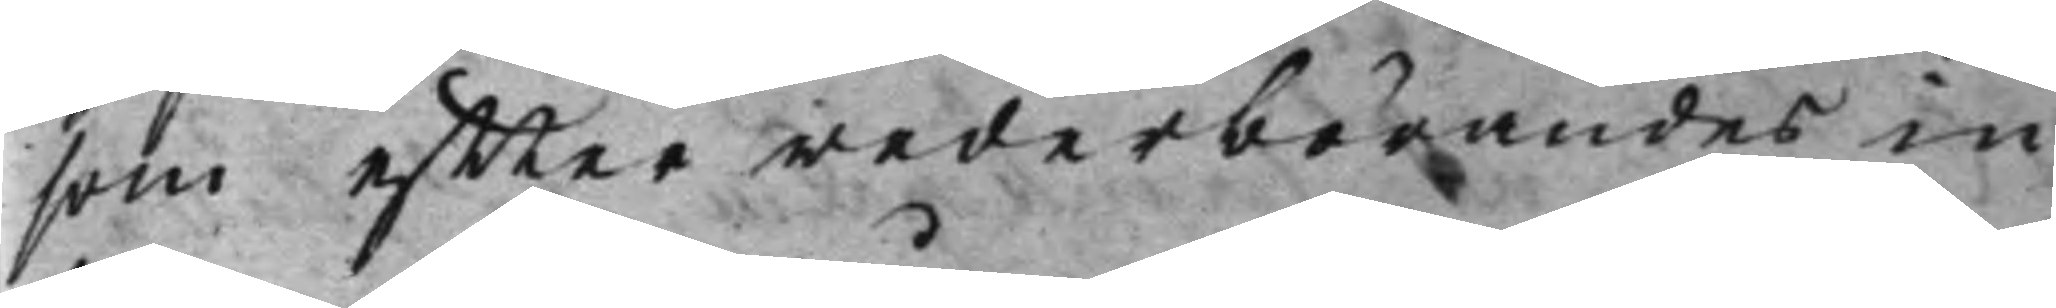som effter wederbörandes in¬
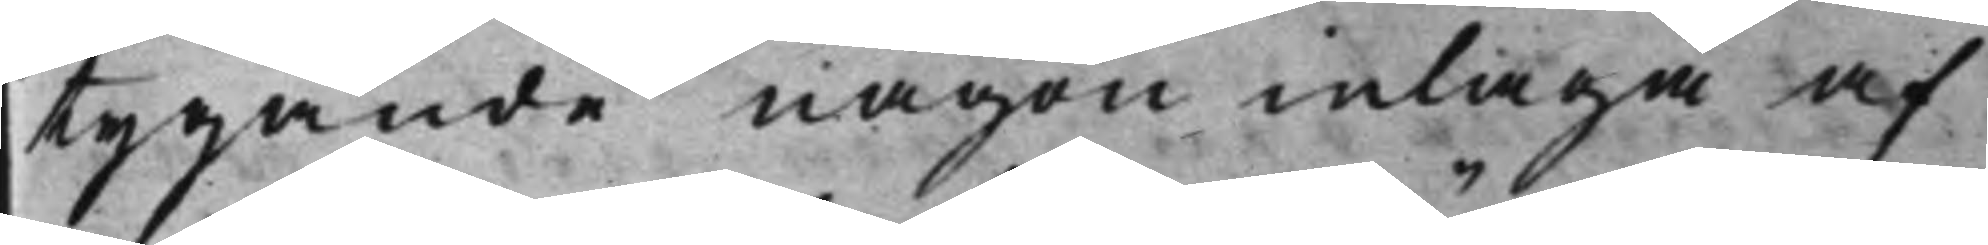tygande någon inlaga af
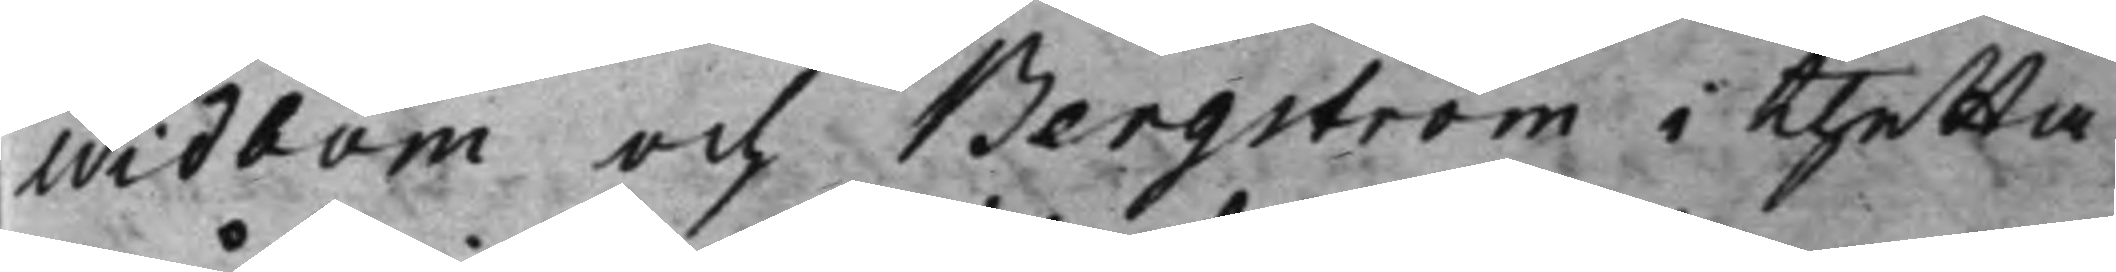Widbom och Bergström i thetta
